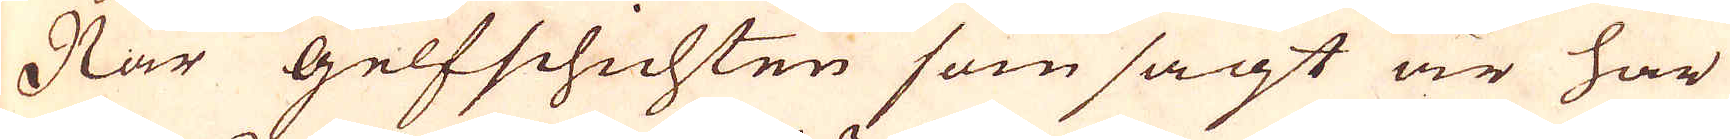När gelfschichten som sagt är har
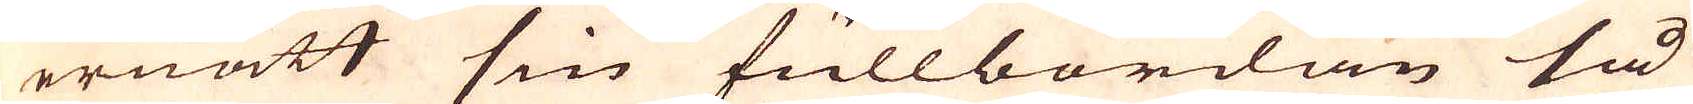ernått sin fullbordan så
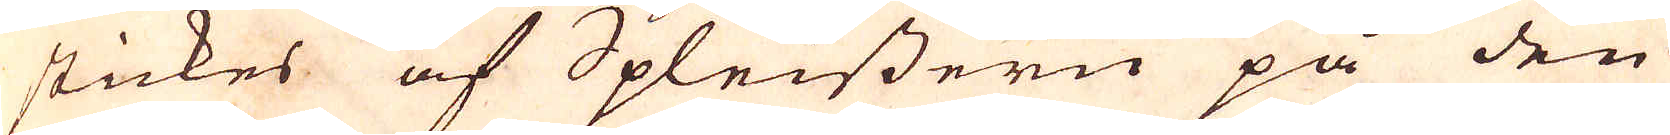stickes af Spleissern på den
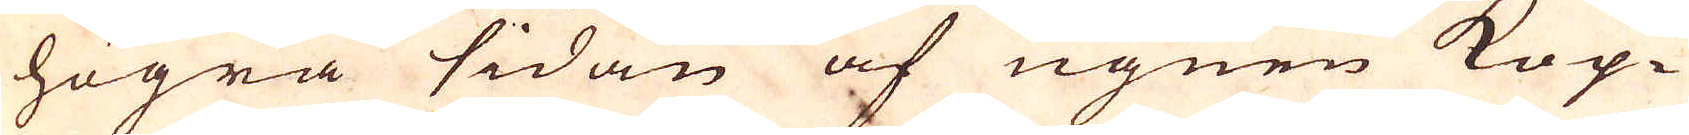högra sidan af ugnen Kop-
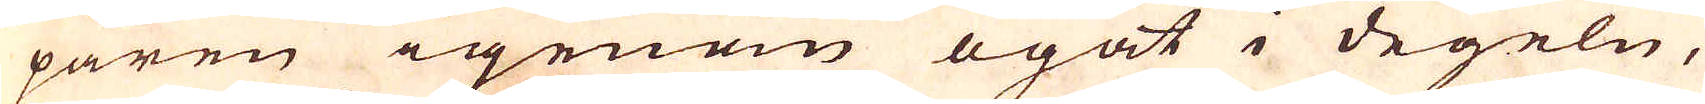paren igenom ögat i degeln,
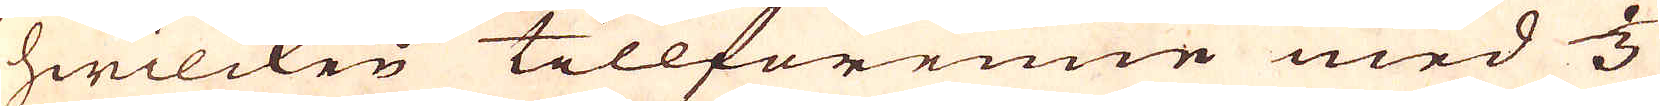hwilcken tillförenne med 1/3
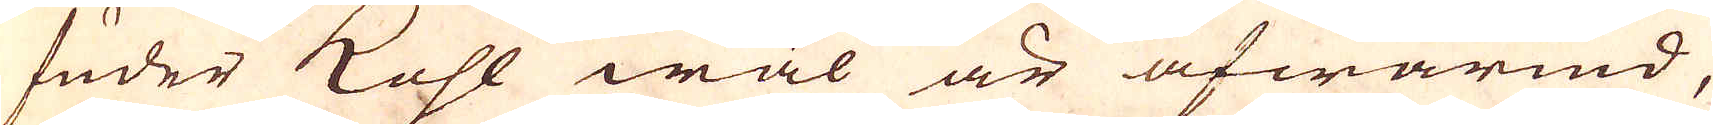fuder Kohl wäl är afwärmd,
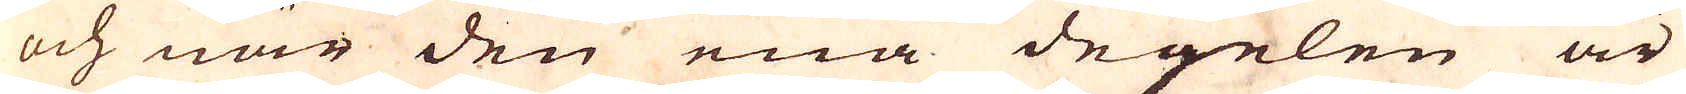och när den ena degelen är
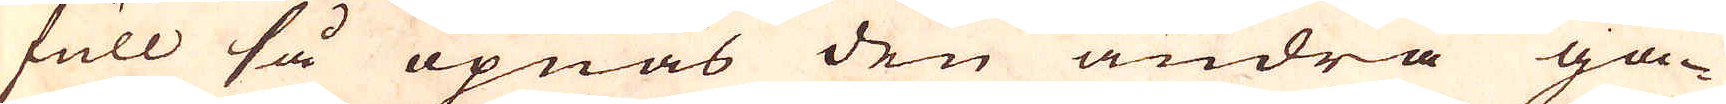full så öpnas den andra ga-
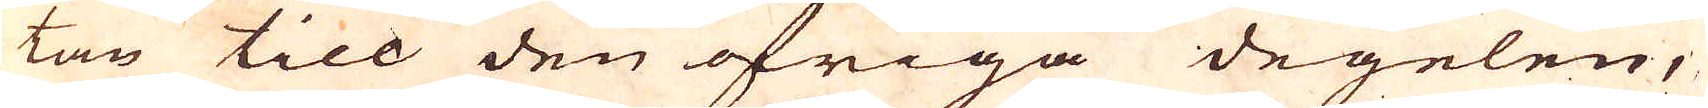tan till den öfriga degelen,
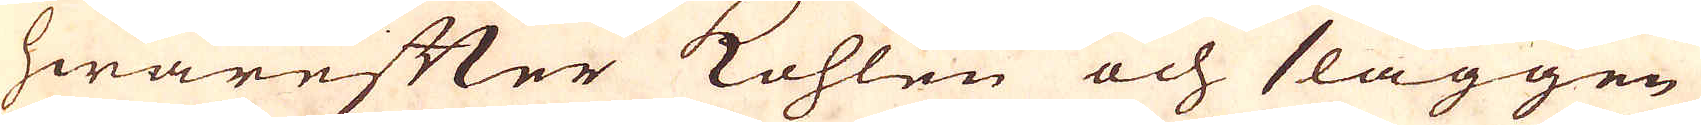hwarefter Kohlen och slaggen
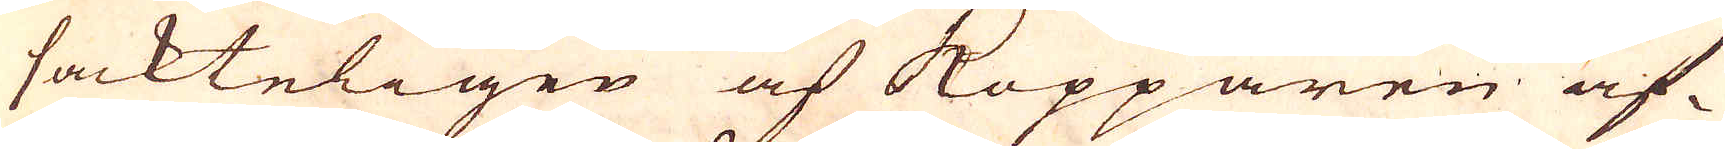sackteligen af Kopparen af-
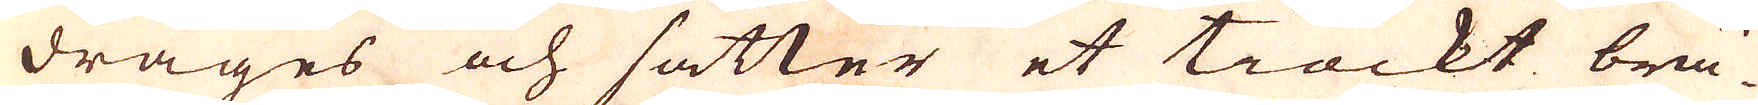drages och sätter et tiockt brä-
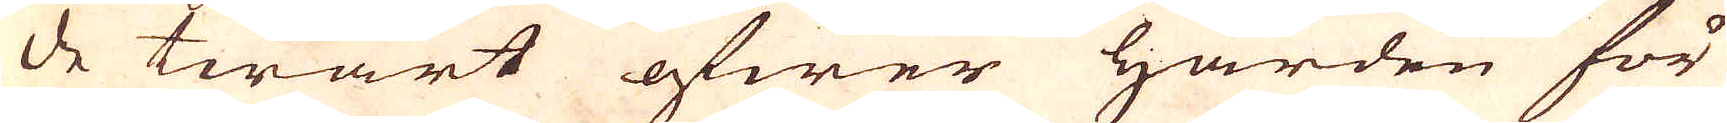de twärt öfwer härden för
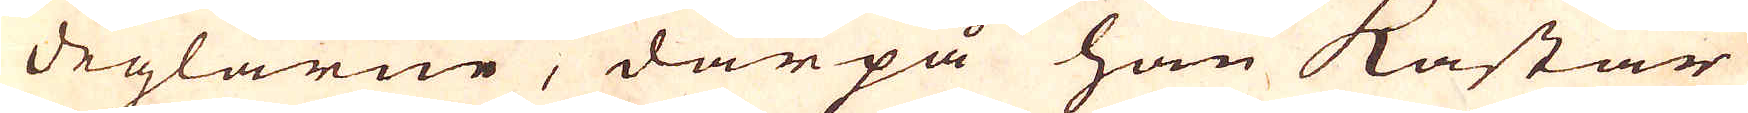deglarne, därpå han kastar
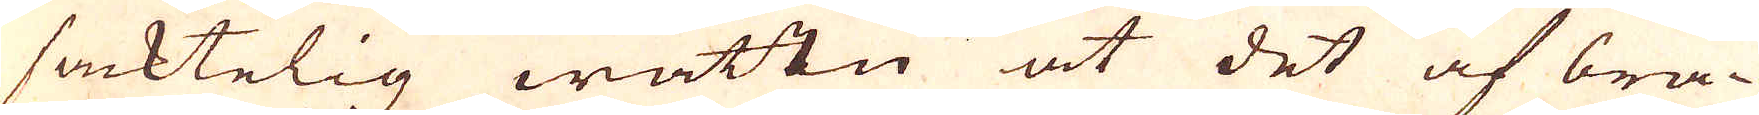sacktelig wattn at det af brä-
